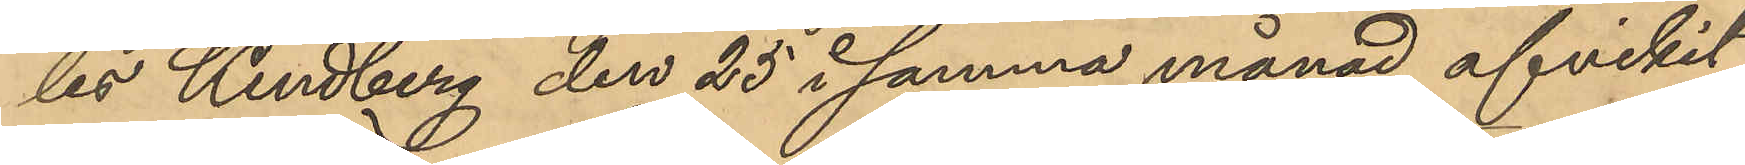les Kindberg den 25 i samma månad afvikit
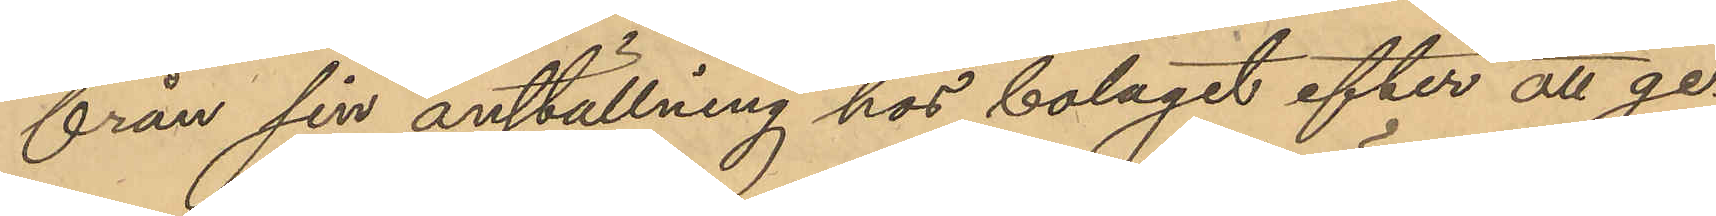från sin anställning hos bolaget efter att ge¬
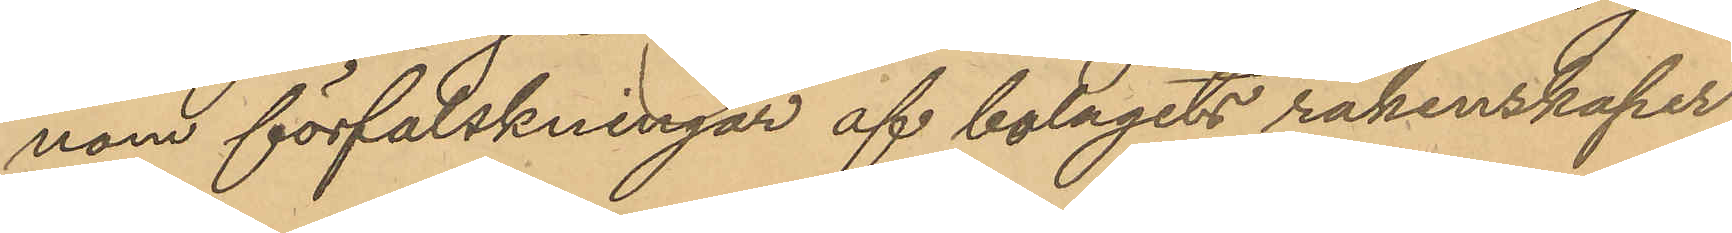nom förfalskningar af bolagets räkenskaper
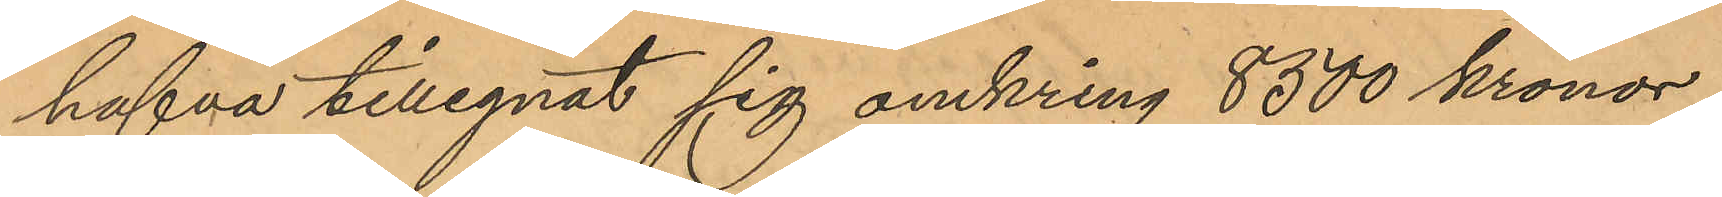hafva tillegnat sig omkring 8300 kronor,
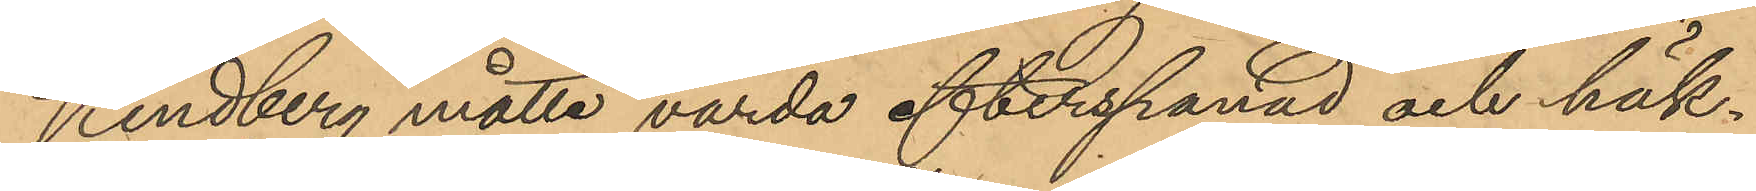Lindberg måtte varda efterspanad och häk¬
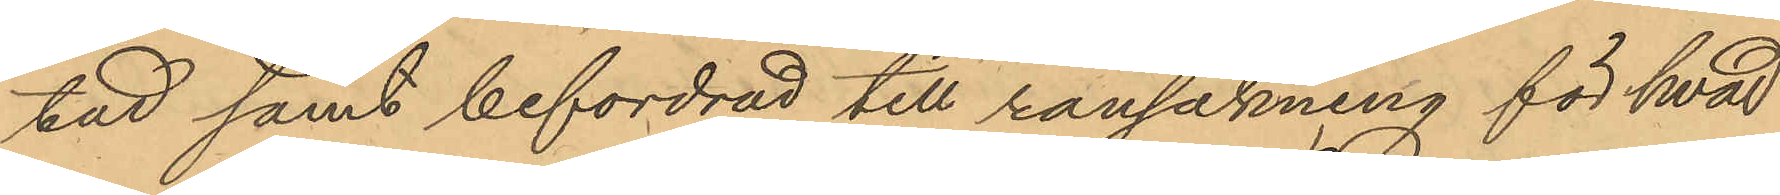tad samt befordrad till rannsakning för hvad
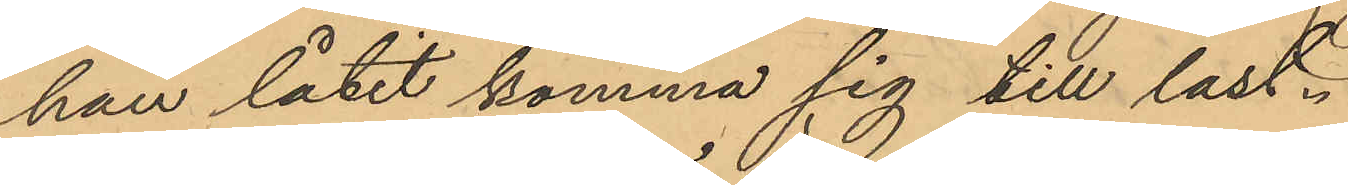han låtit komma sig till last.
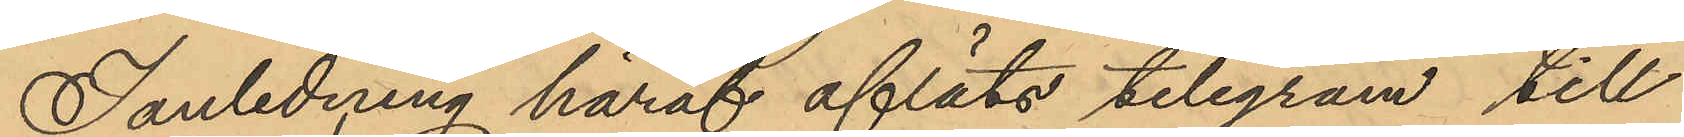I anledning härat afläts telegram till
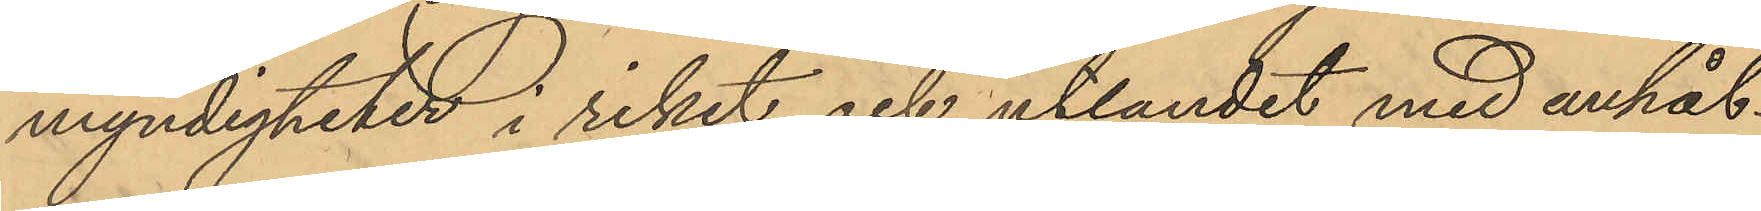myndigheter i riket och utlandet med anhål¬
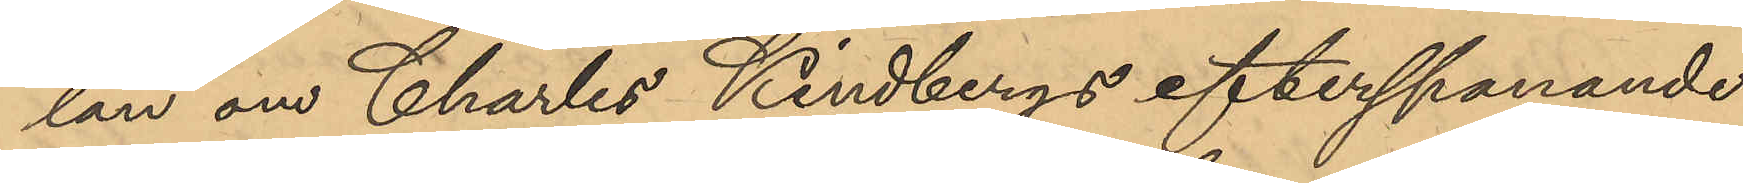lan om Charles Kindbergs efterspanande
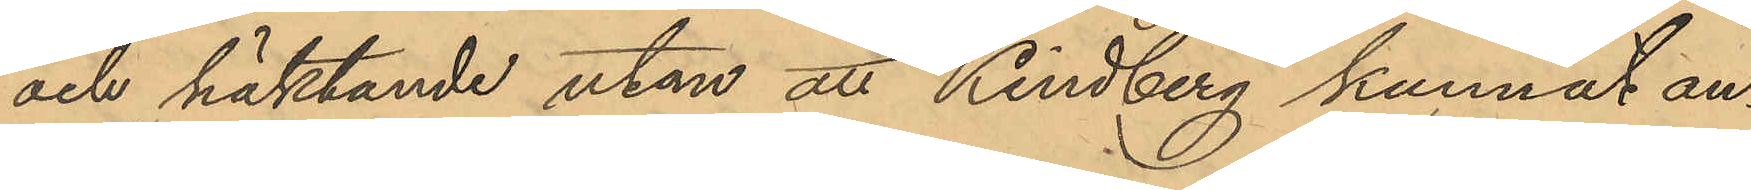och häktande utan att Lindberg kunnat an¬
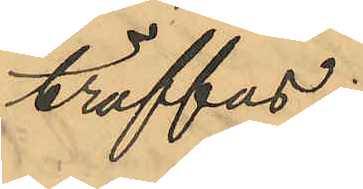träffas.
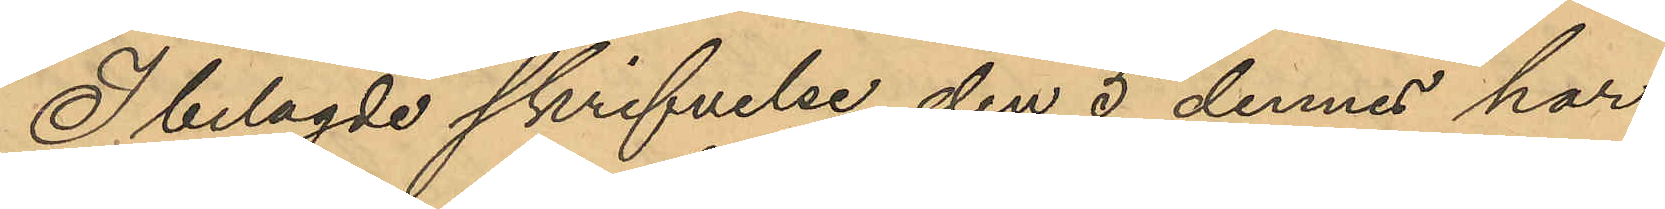I belagde skrifvelse den 5 dennes har
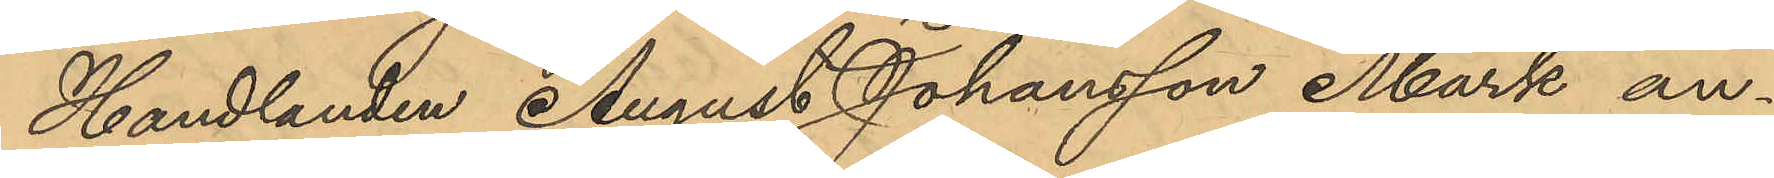Handlanden August Johansson Mark an¬
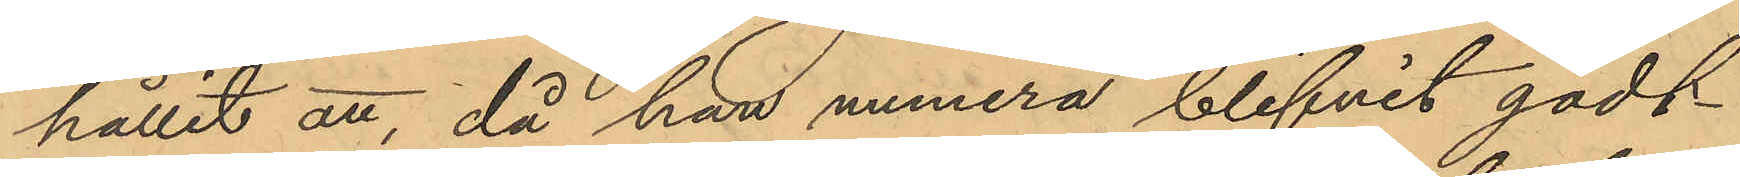hållit att, då han numera blifvit godt-
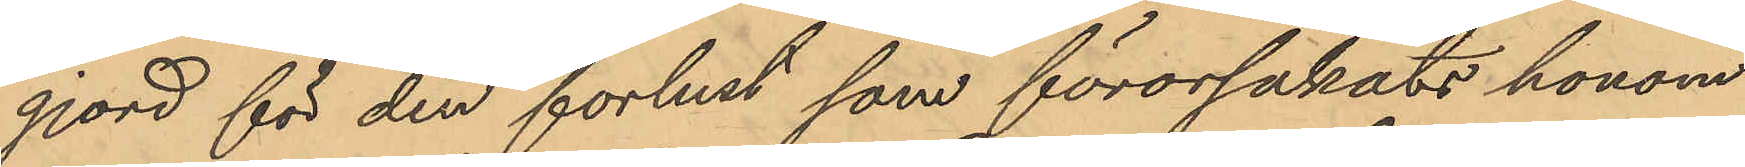gjord för den förlust som förorsakats honom
